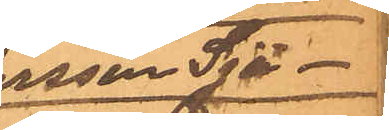dersson Sjö¬
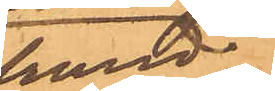strand
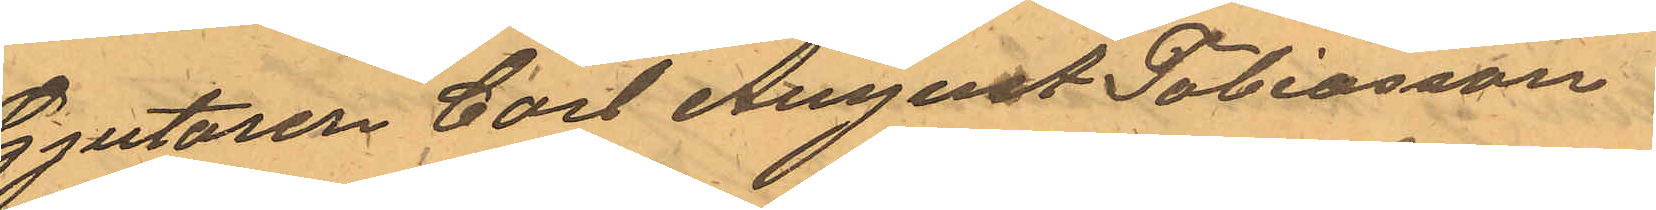Gjutaren Carl August Tobiasson
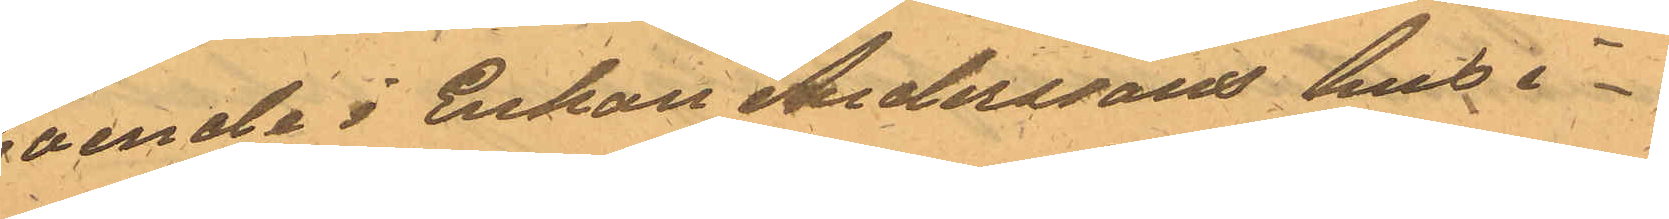boende i Enkan Anderssons hus i
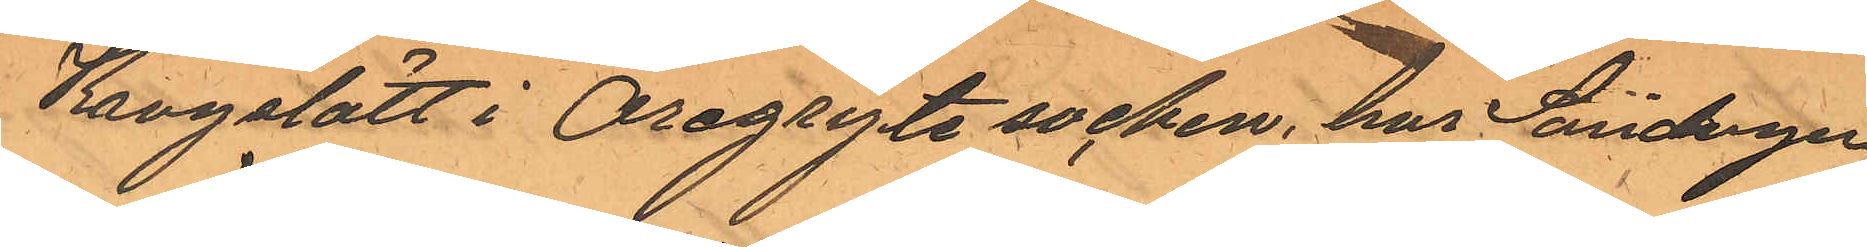Krogslätt i Öregryte socken, har Söndagen
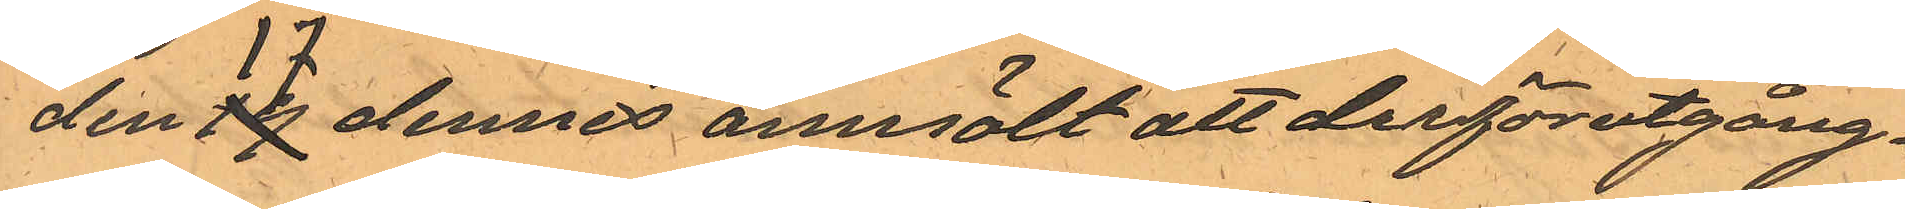den 17 dennes anmält att derförutgång¬
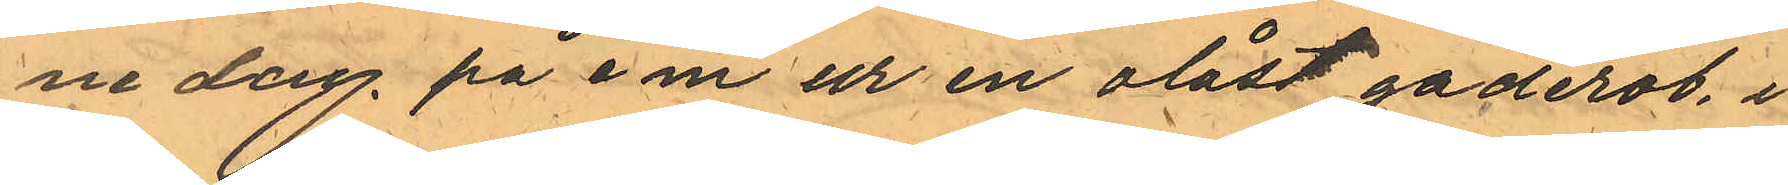ne dag på e.m. ur en olåst gaderob, i
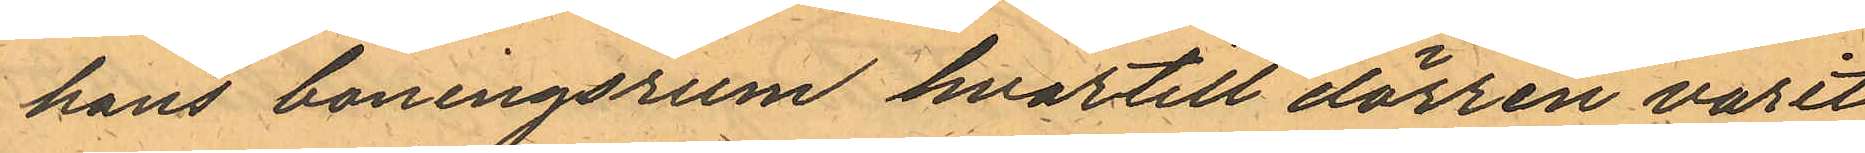hans boningsrum hvartill dörren varit
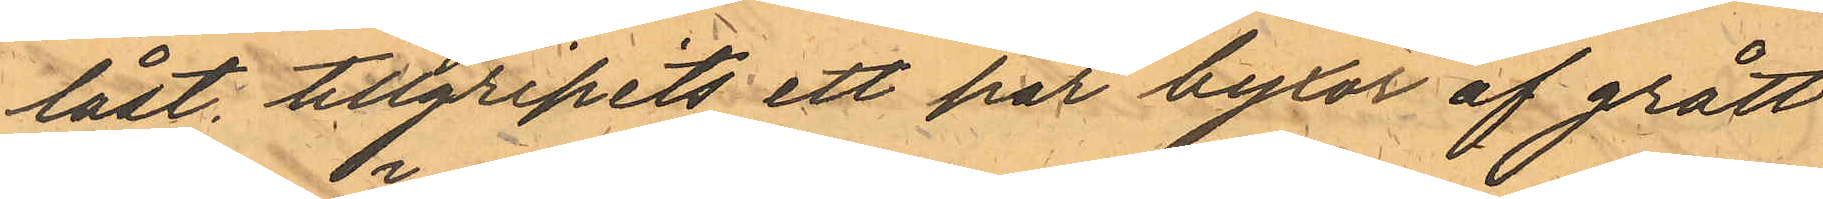låst, tillgripits ett par byxor af grått
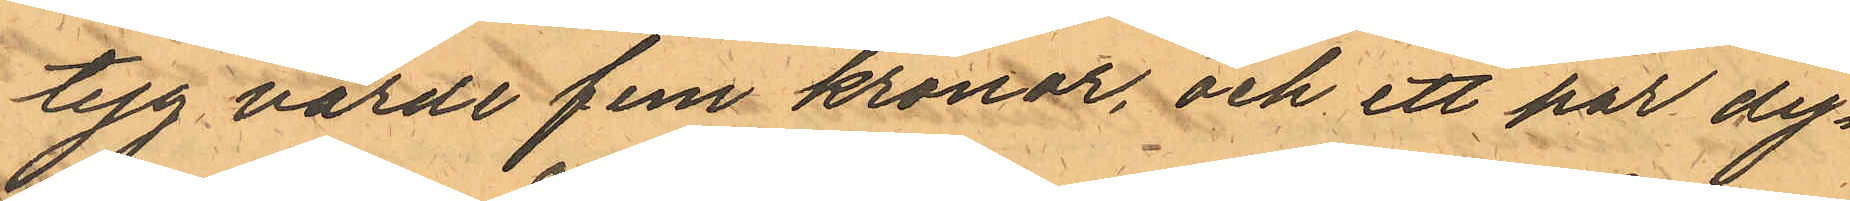tyg värde fem kronor, och ett par dy¬
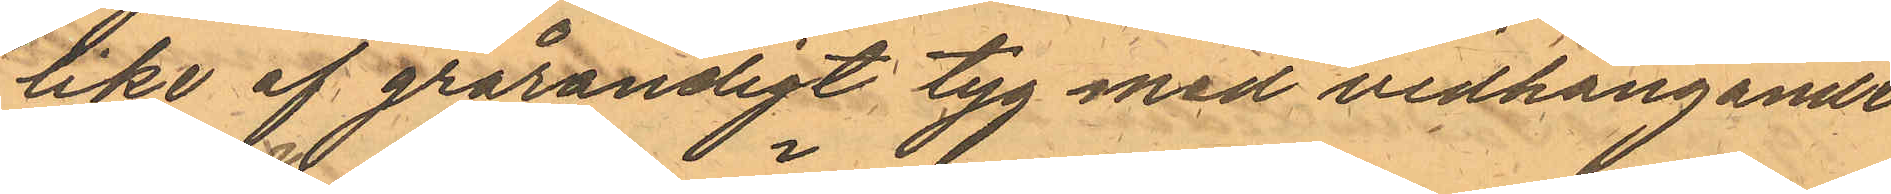like af grårandigt tyg med vidhängande
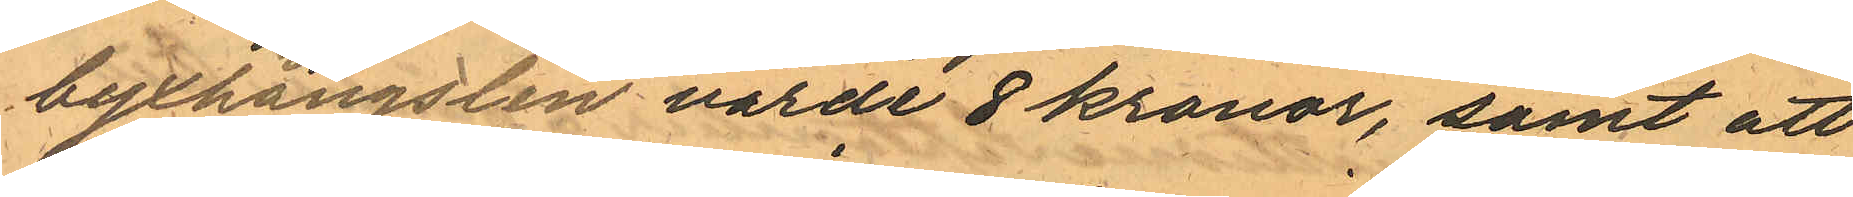byxhängslen värde 8 kronor, samt att
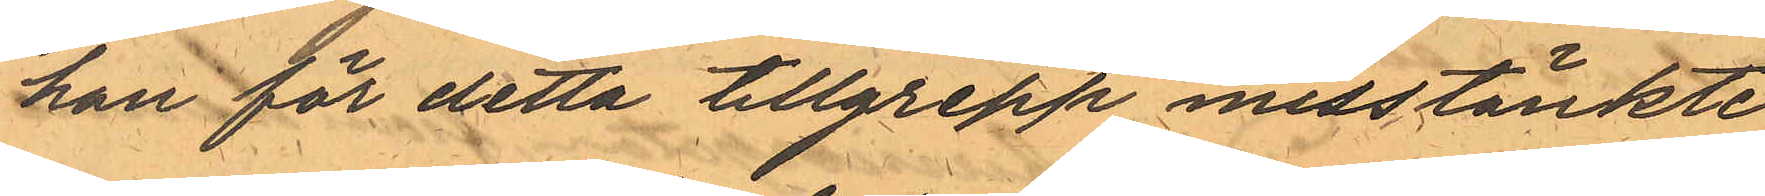han för detta tillgrepp misstänkte
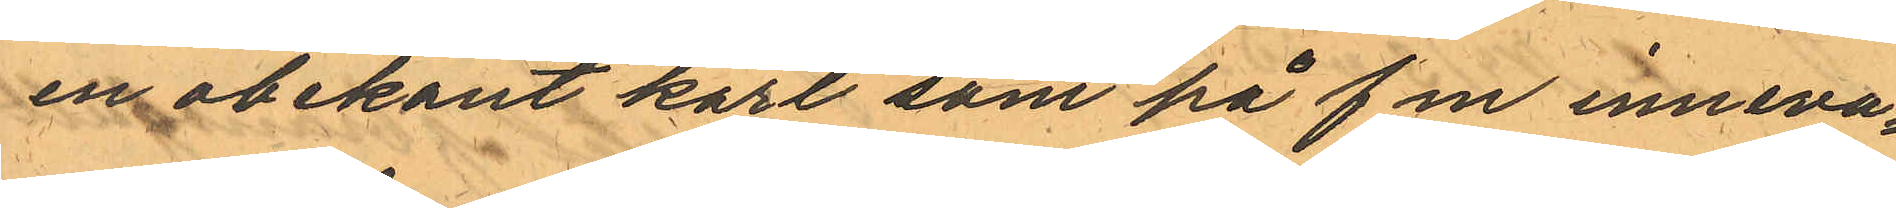en obekant karl som på f m inneva¬
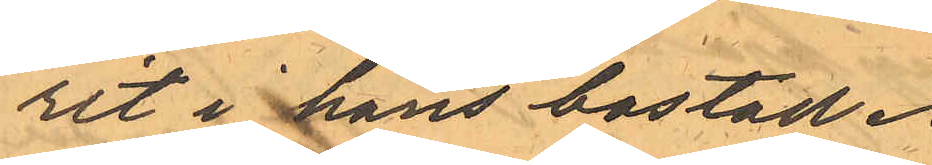rit i hans bostad.
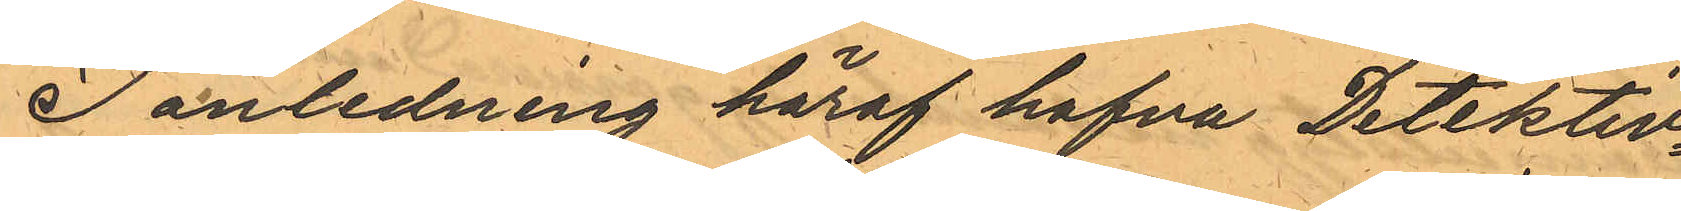I anledning häraf hafva Detektiv¬
